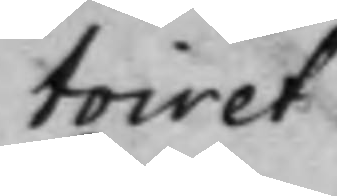toiret.
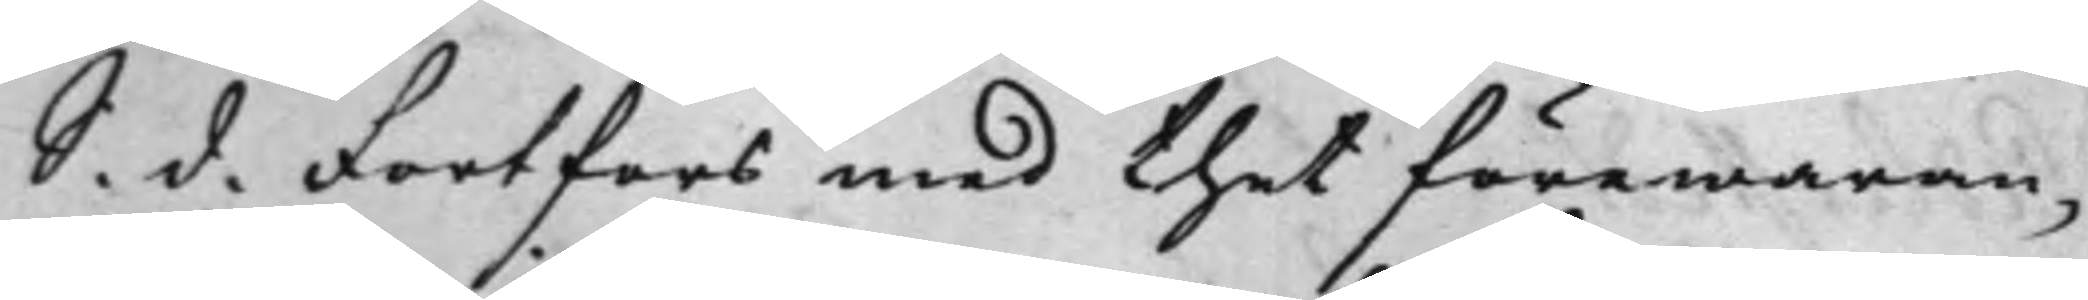S. d. Fortfors med thet förewaran¬
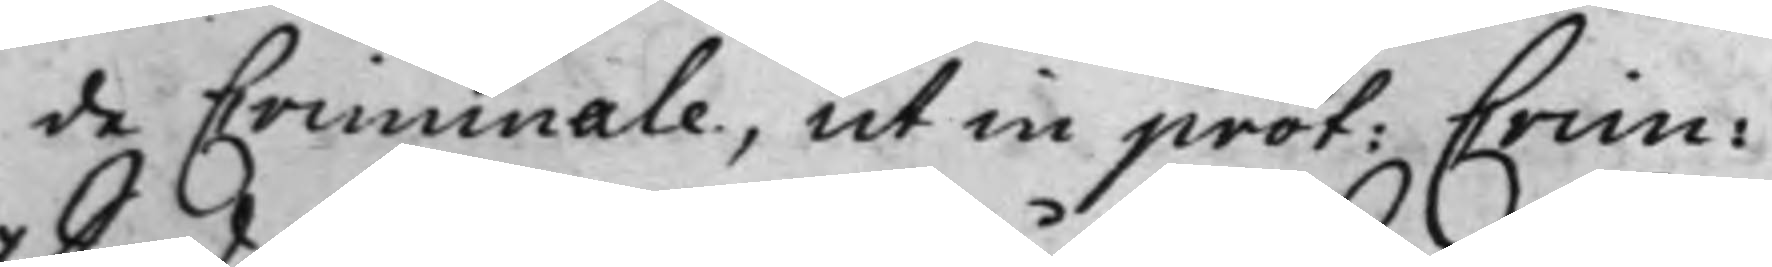de Criminale, ut in prot: Crim:
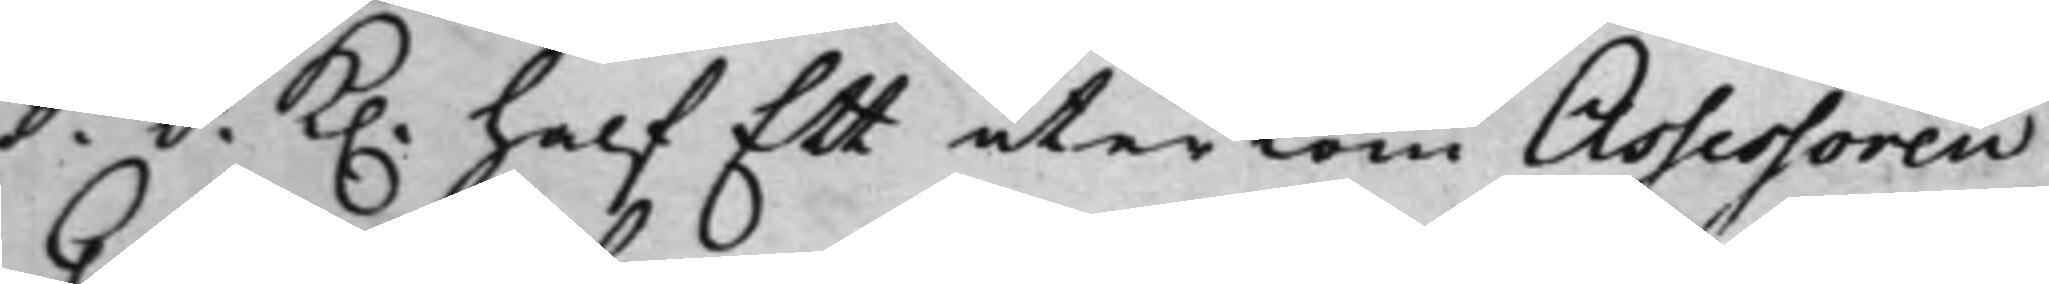S. d. K. half Ett återkom Assessoren
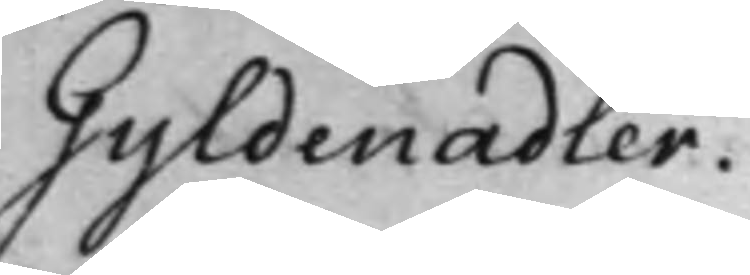Gyldenadler.
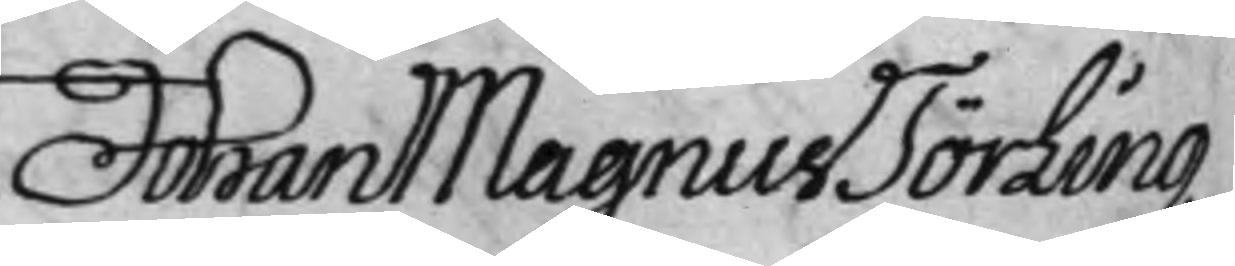Johan Magnus Törling
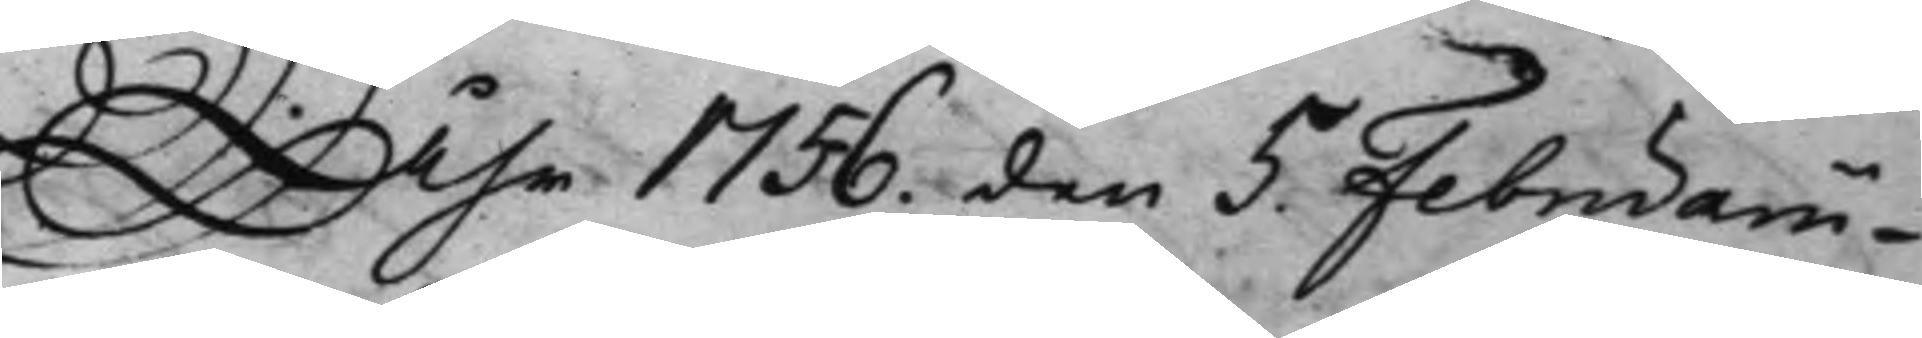Åhr 1756. den 5 Februarii.
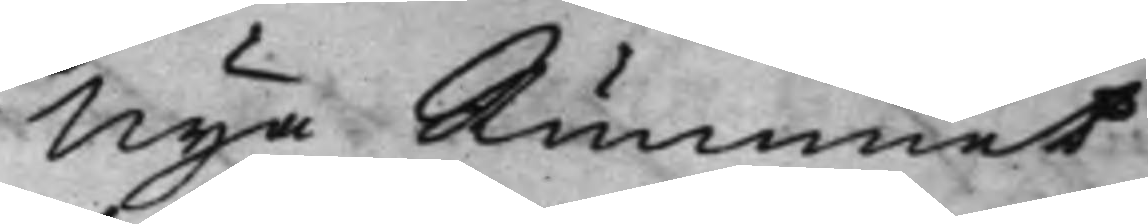Nya Rummet
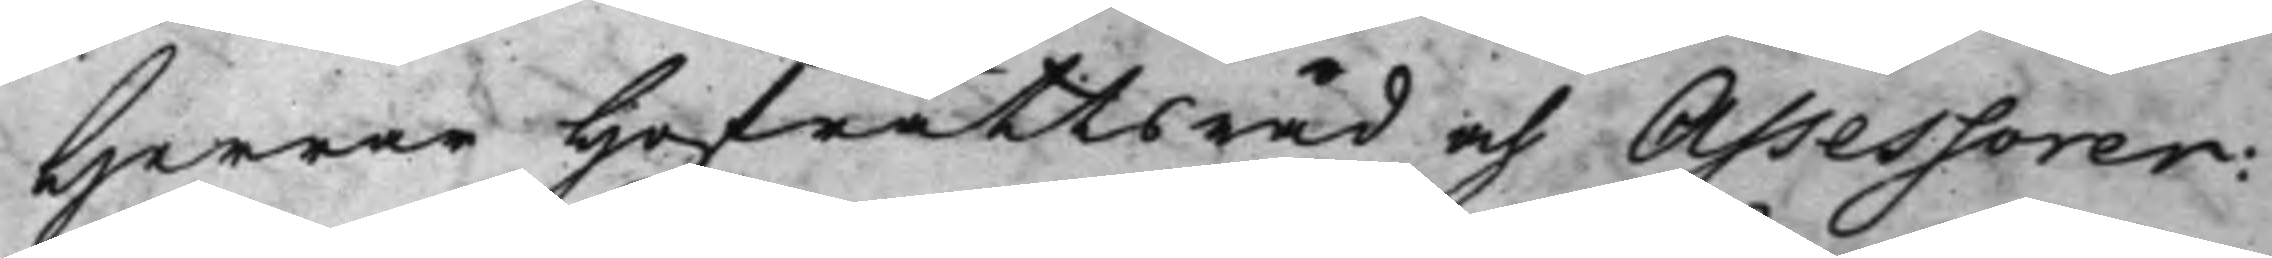Herrar Hofrättsråd och Assessorer:
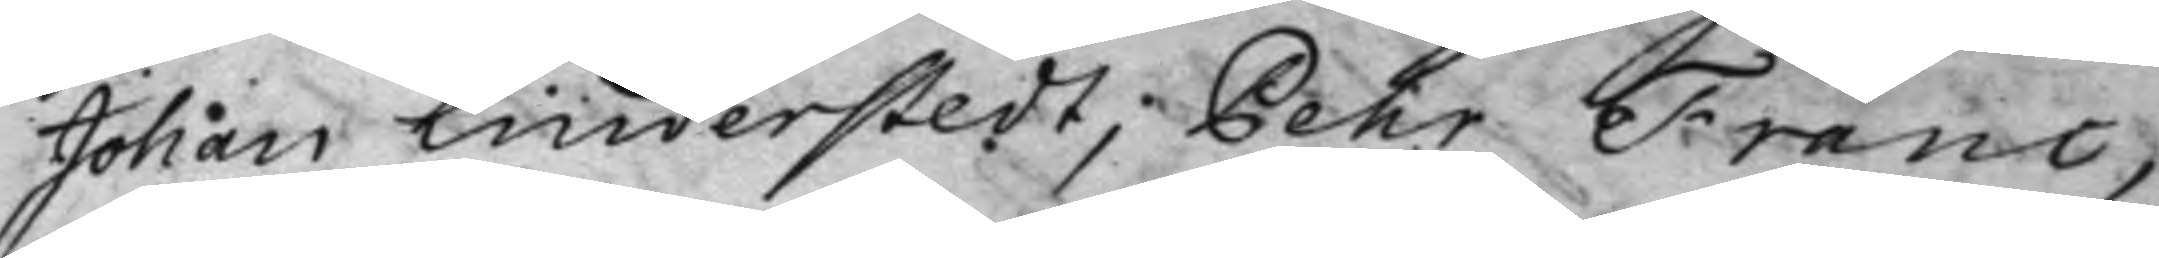Johan Linderstedt, Pehr Franc,
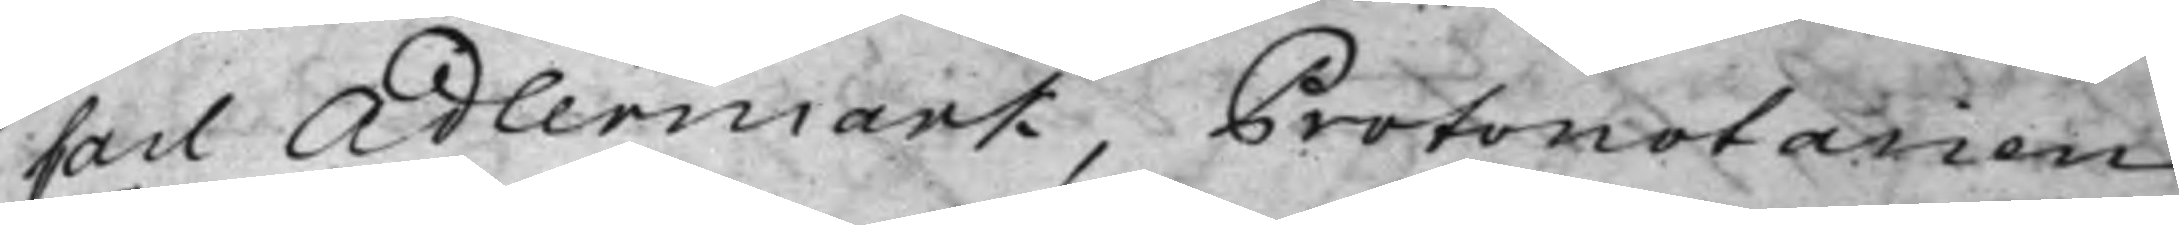Carl Adlermark, Protonotarien
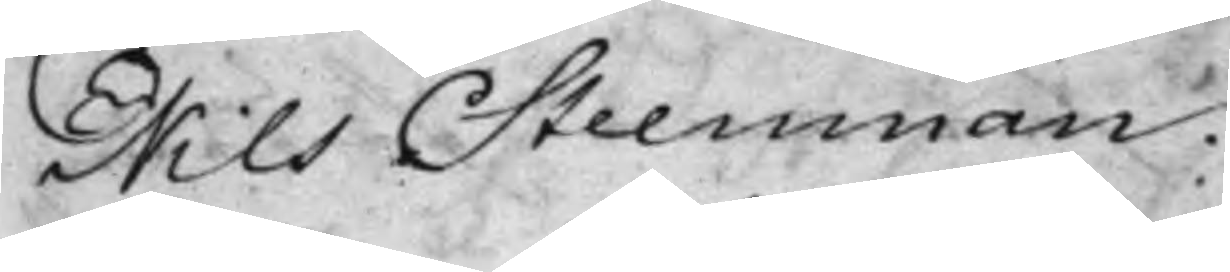Nils Steenman.
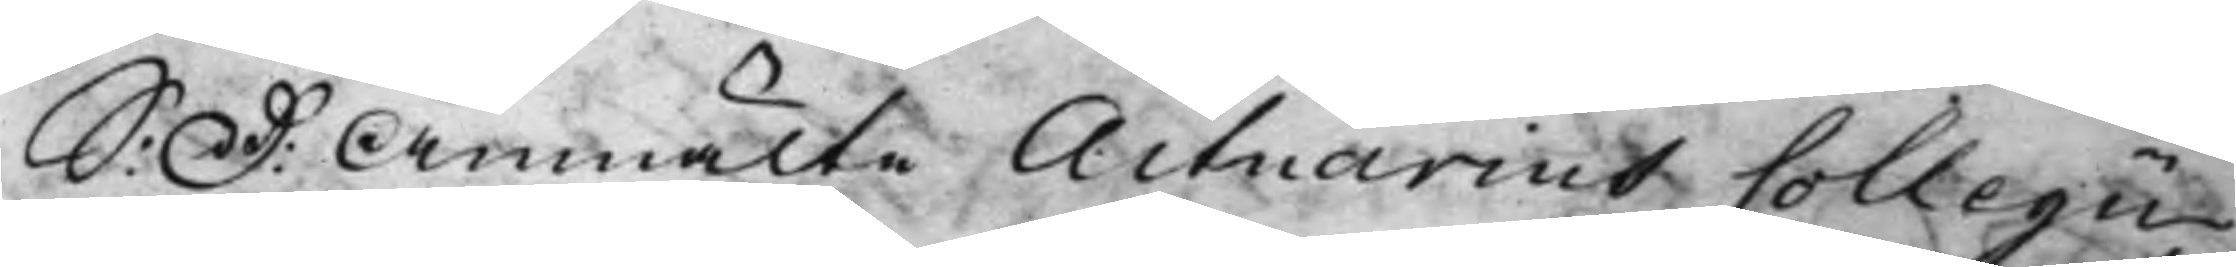S: D: Anmälte Actuarius Collegii
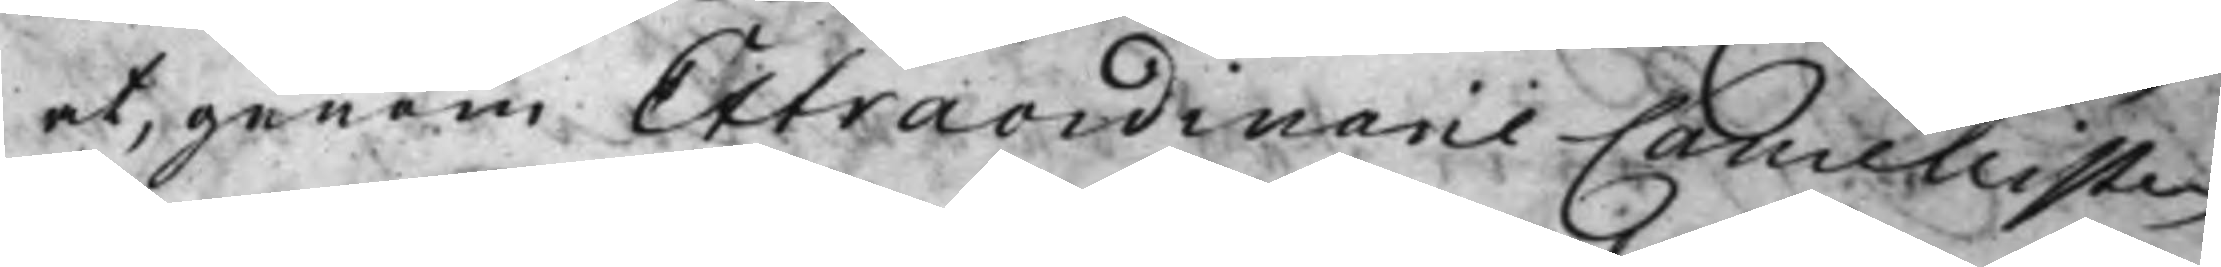at, genom Extraordinarie Cancellisten
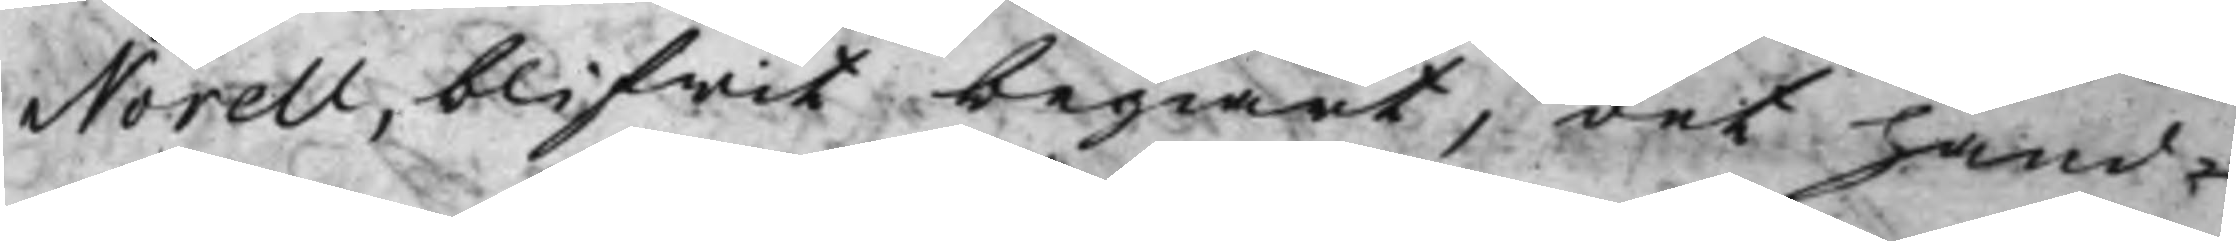Norell, blifwit begiärt, det hand¬
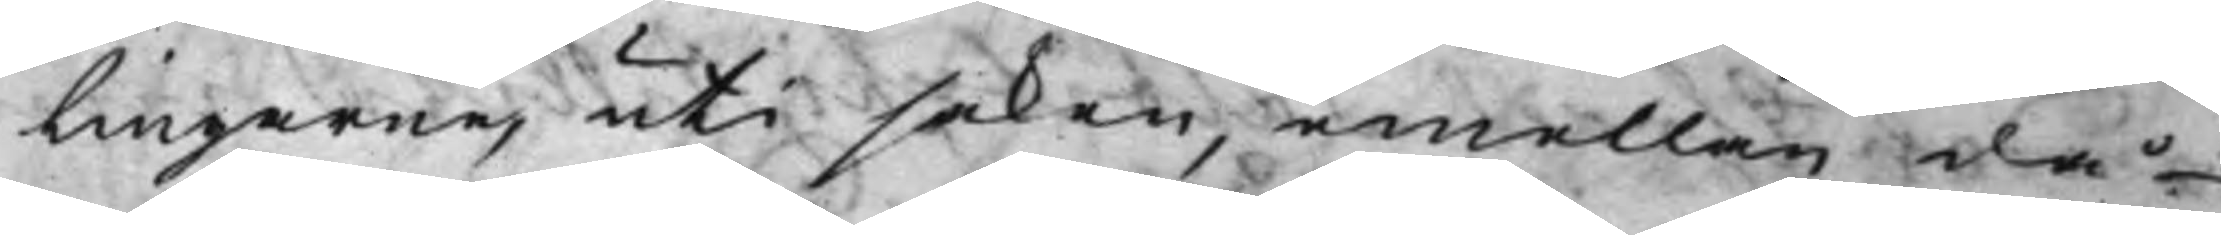lingarne, uti saken, emellan då¬
